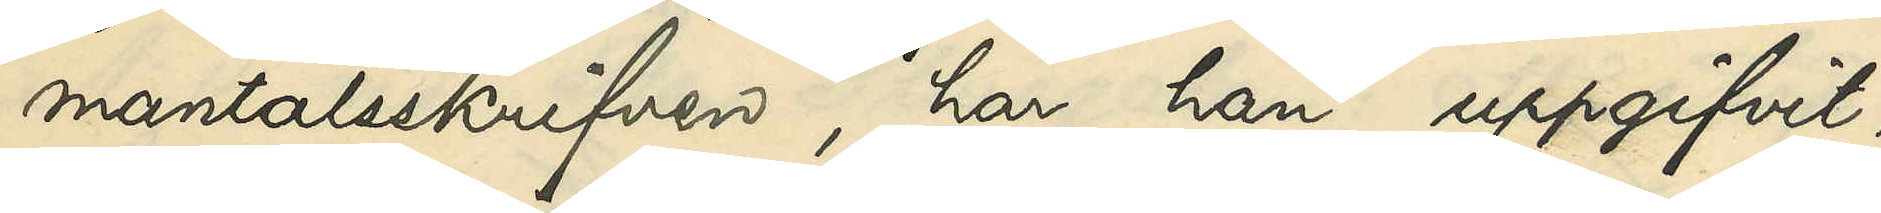mantalsskrifven, har han uppgifvit,
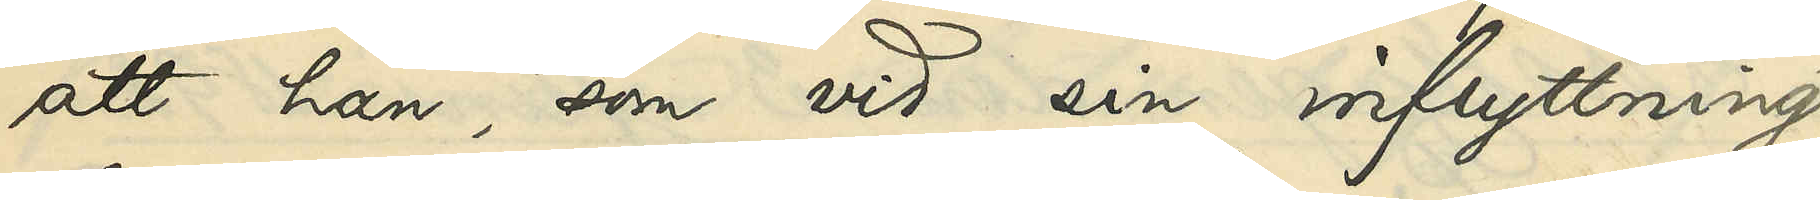att han, som vid sin inflyttning
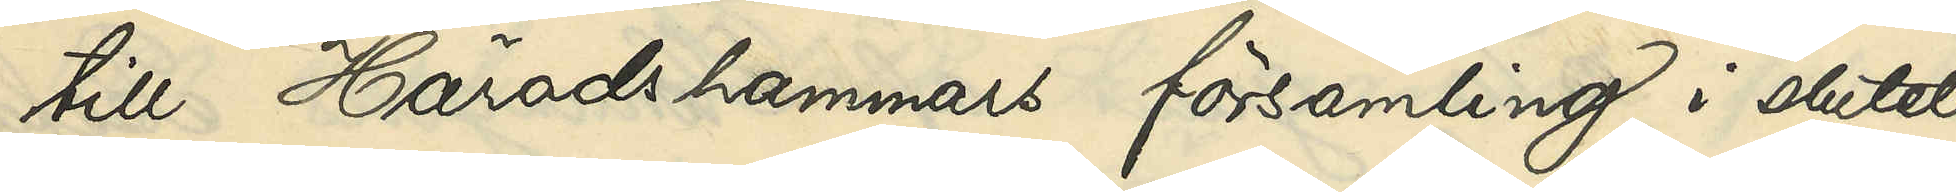till Häradshammars församling i slutet
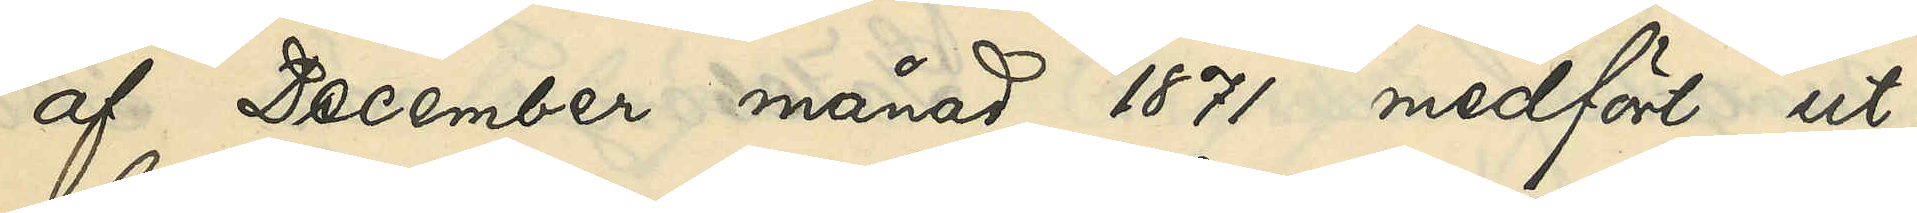af December månad 1871 medfört ut¬
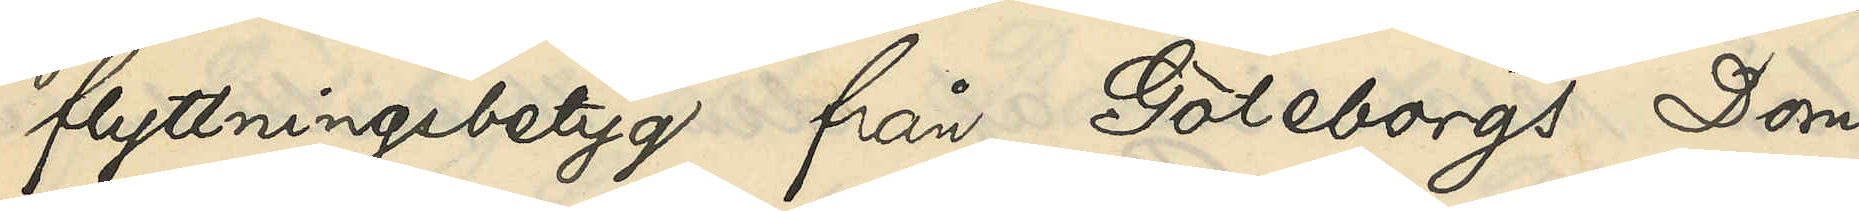flyttningsbetyg från Göteborgs Dom¬
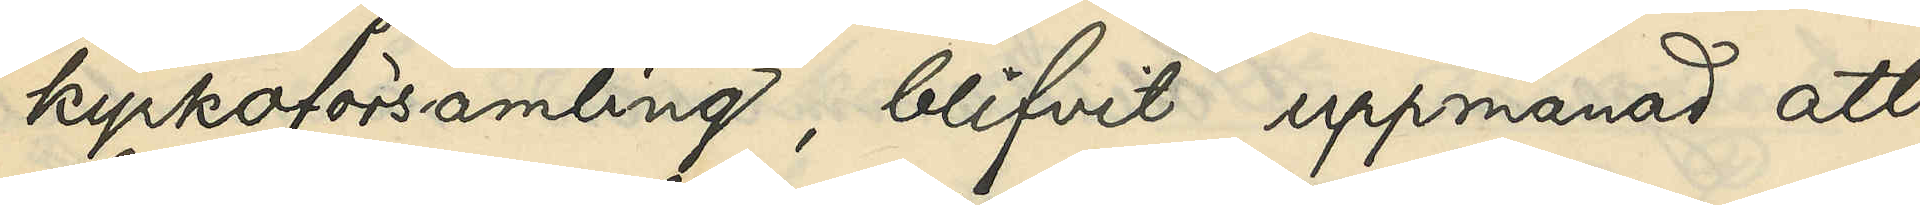kyrkoförsamling, blifvit uppmanad att
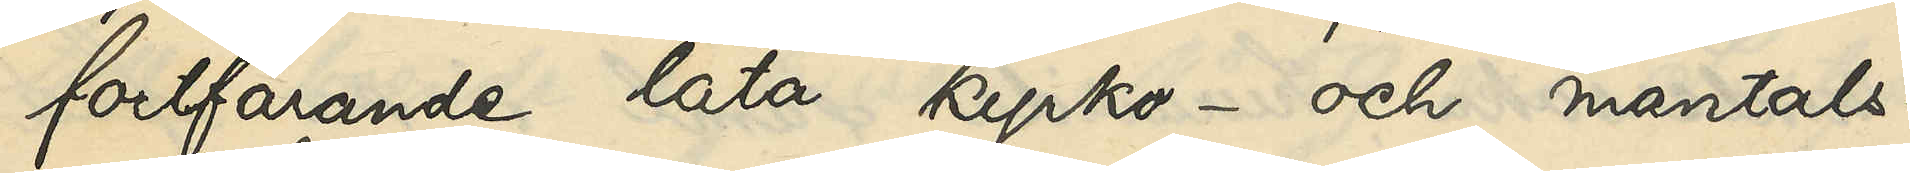fortfarande låta kyrko- och mantals¬
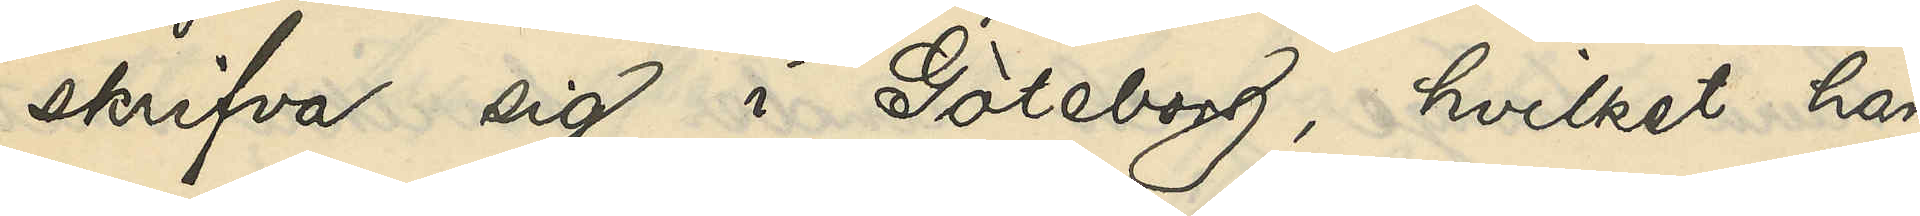skrifva sig i Göteborg, hvilket han
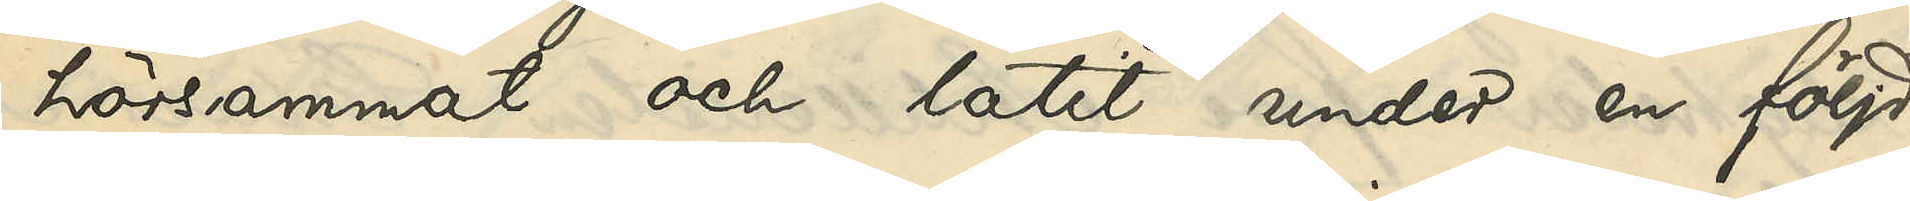hörsammat och låtit under en följd
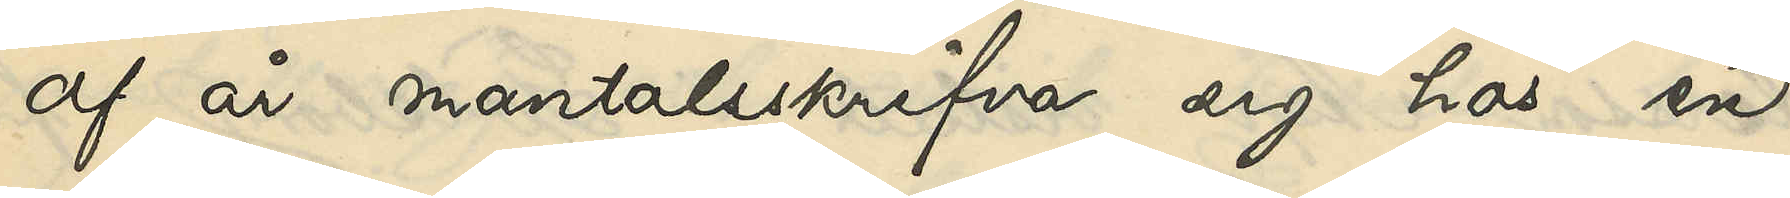af år mantalsskrifva sig hos en
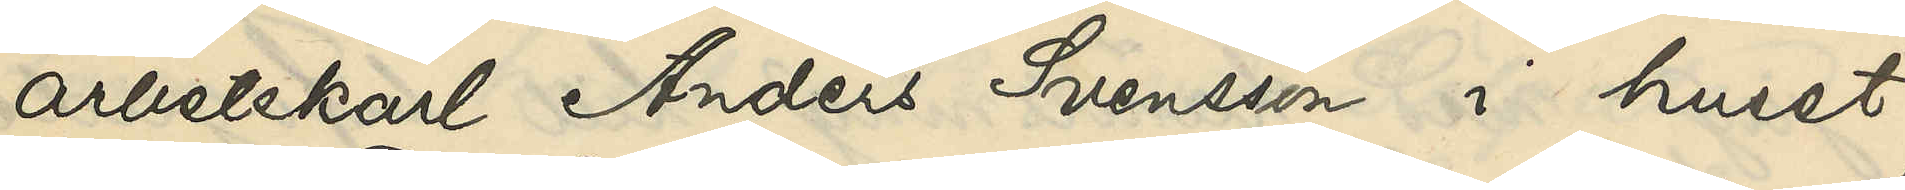arbetskarl Anders Svensson i huset
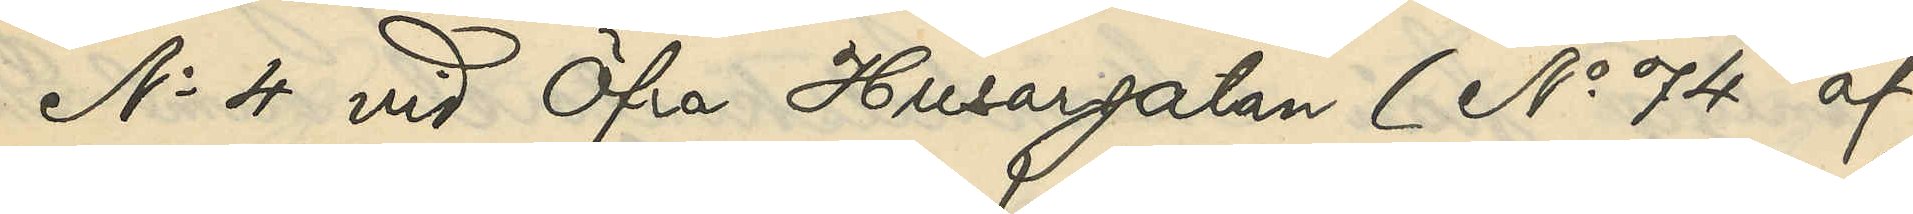No 4 vid Öfra Husargatan (No 74 af
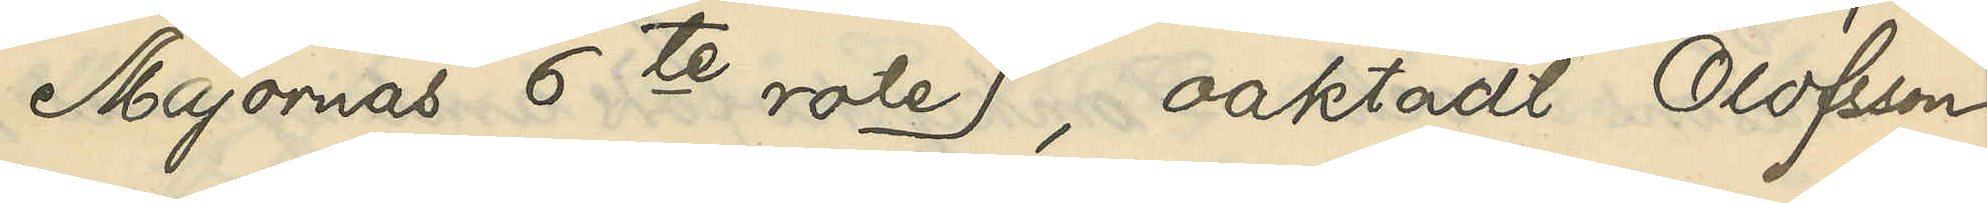Majornas 6te rote), oaktadt Olofsson
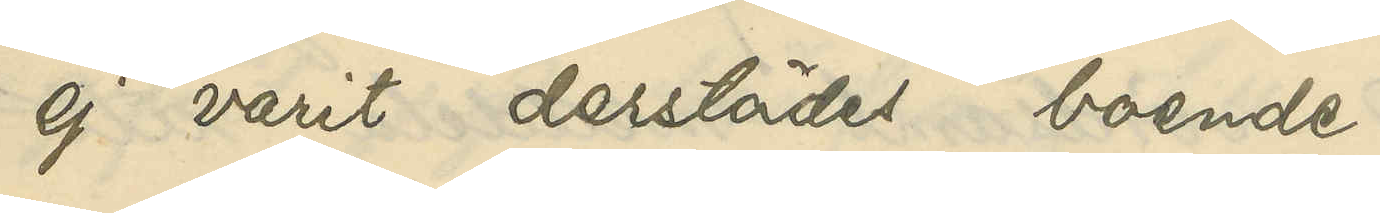ej varit derstädes boende.
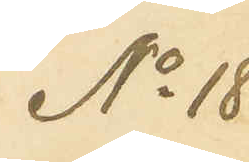No 18
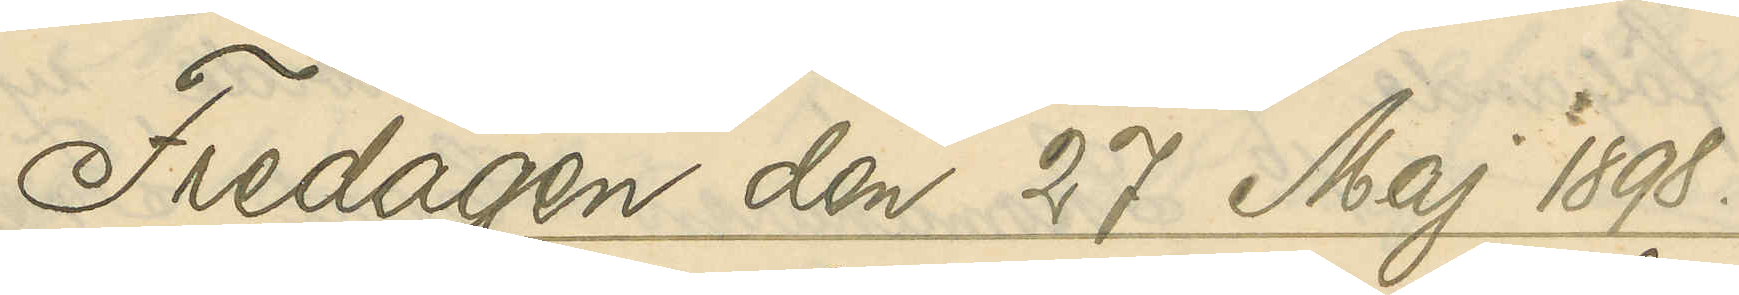Fredagen den 27 Maj 1898.
